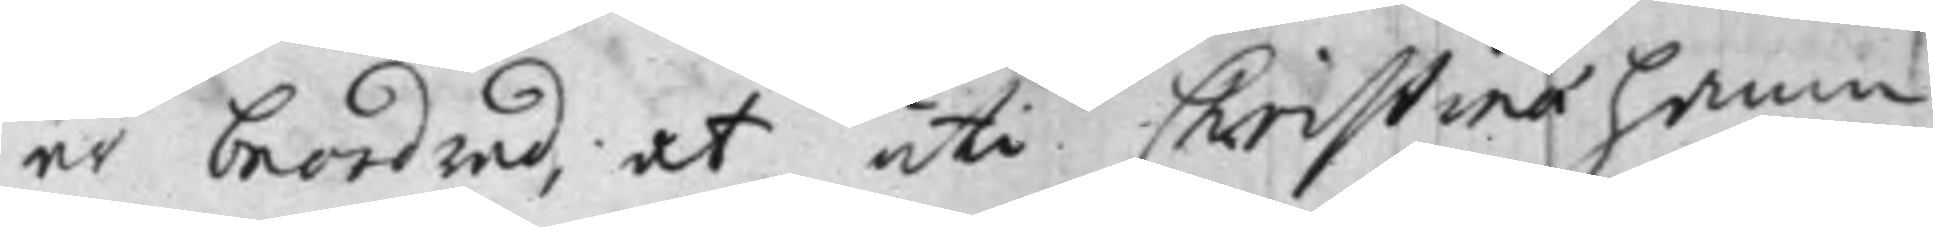är beordrad, at uti Christinaehamn
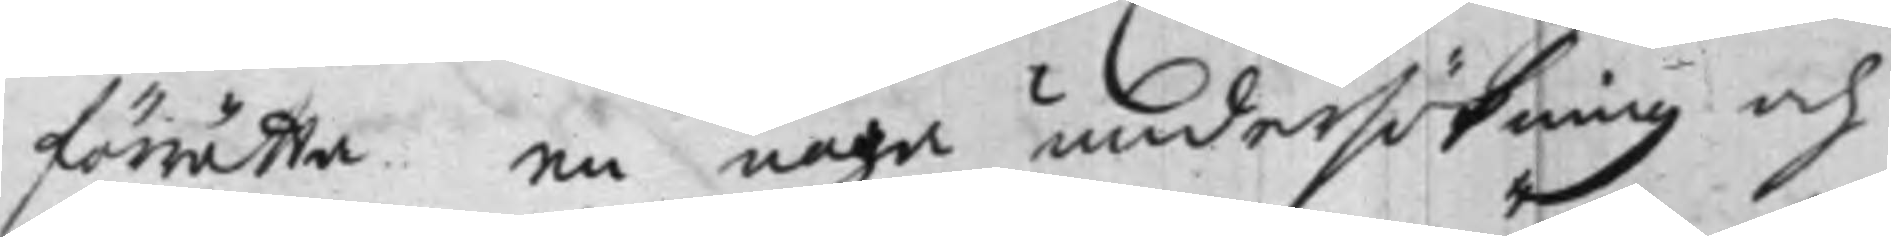förrätta en noga undersökning och
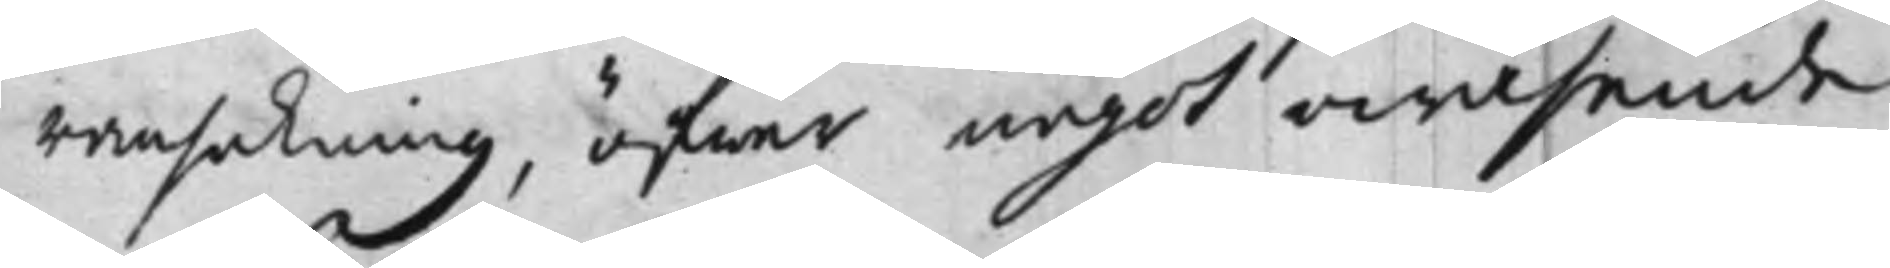ransakning, öfwer något owäsende
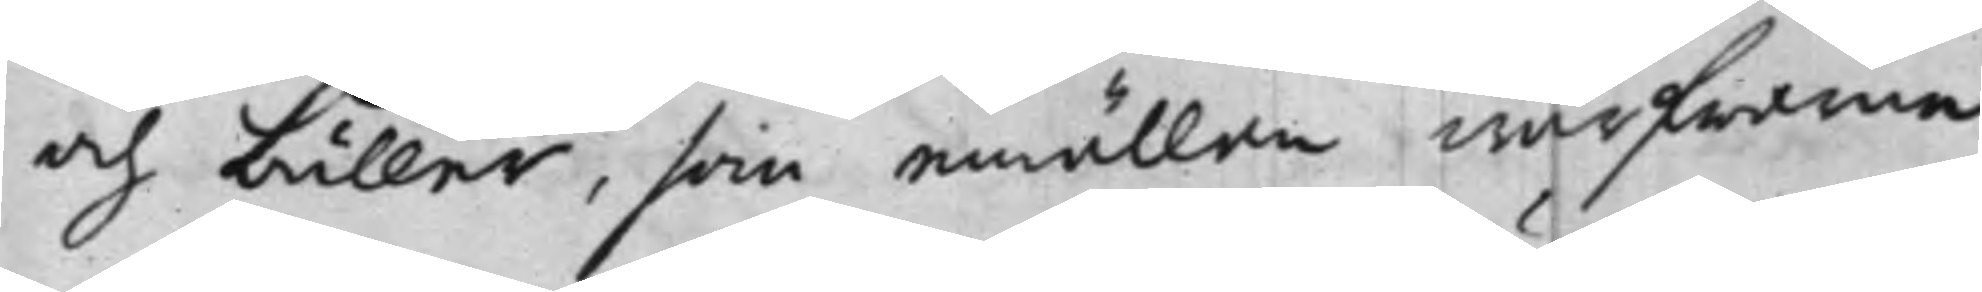och buller, som emällan wärfwarne
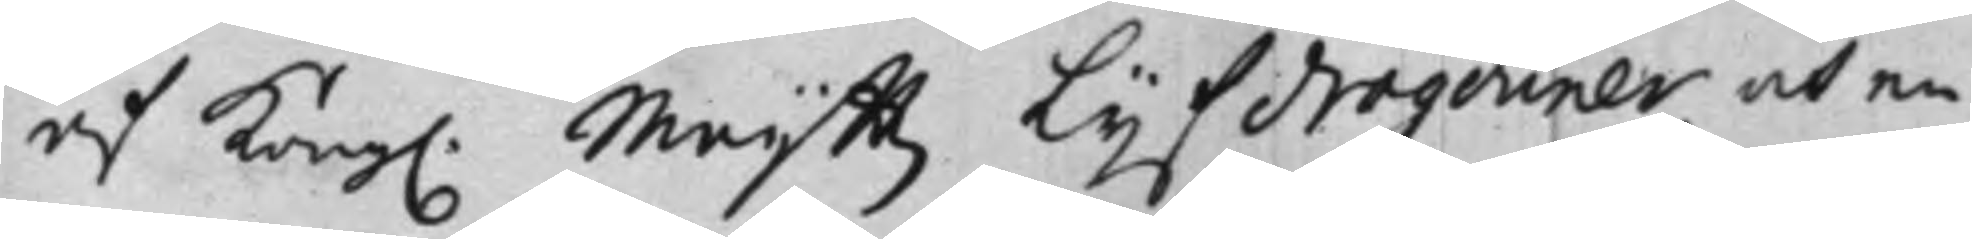af Kong. Maijttz Lijfdragouner, och en
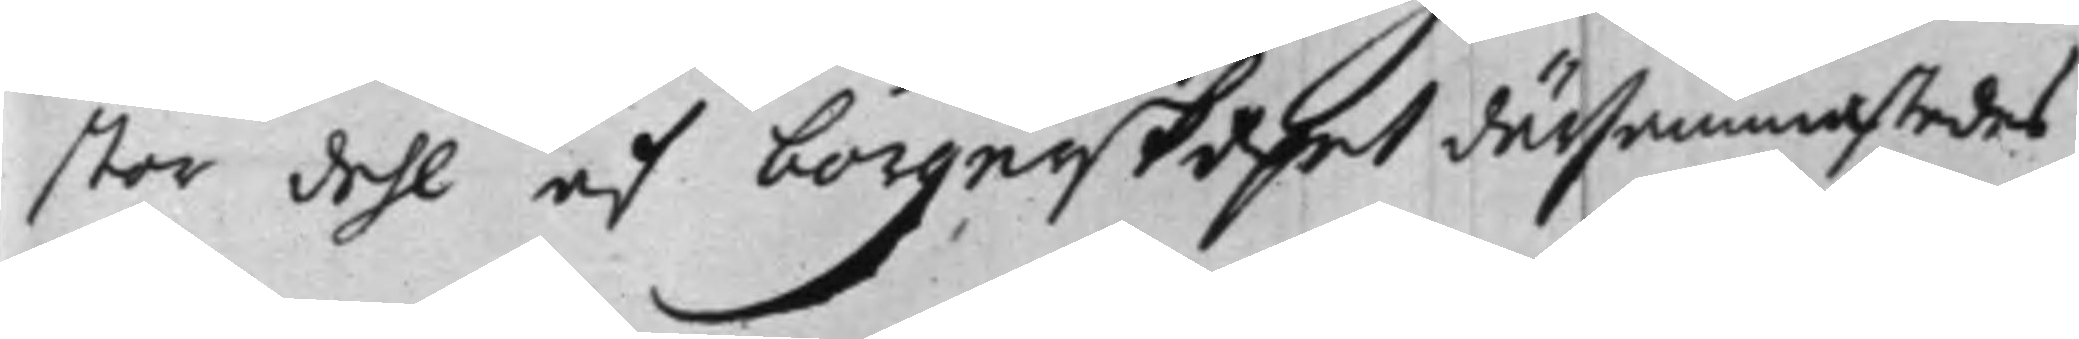stor dehl af borgerskapet därsammastedes
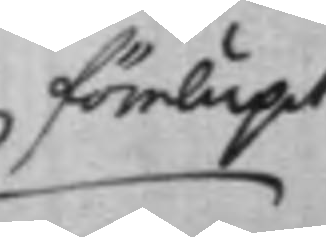förelupit
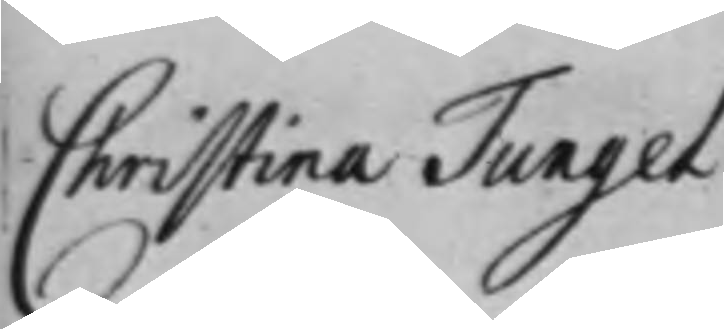Christina Tungel
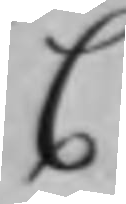C
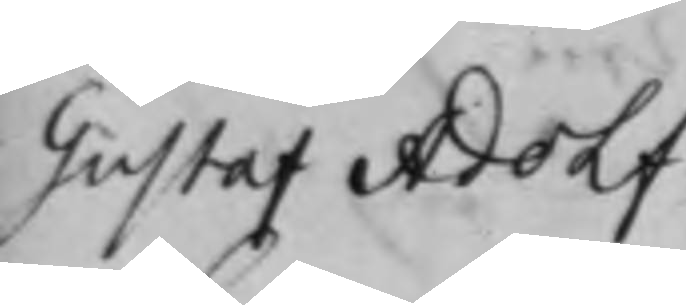Gustaf Adolf
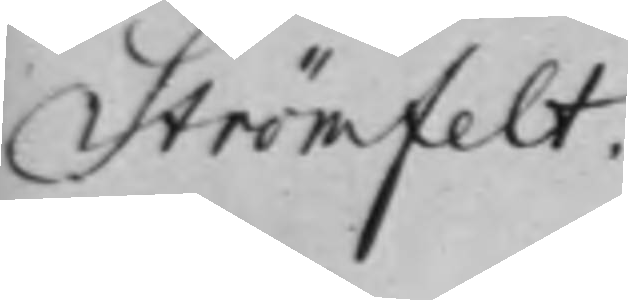Strömfelt.
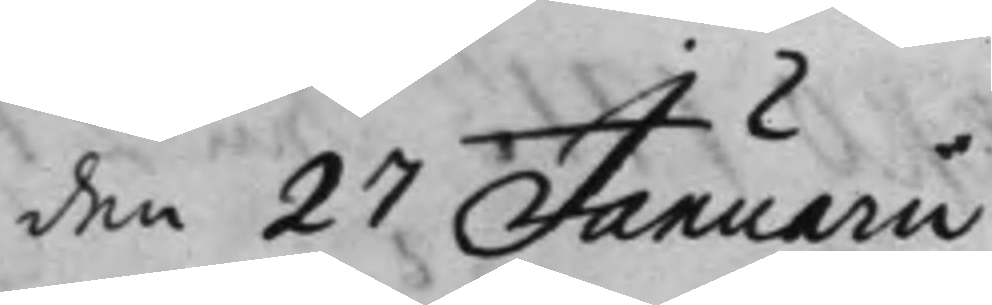den 27 Januarii
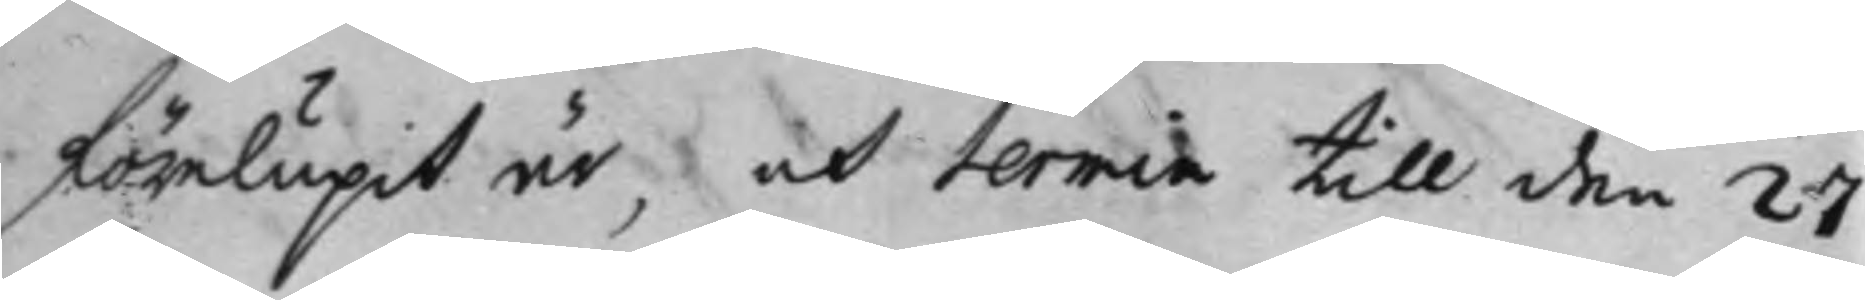förelupit år, och termen till den 27
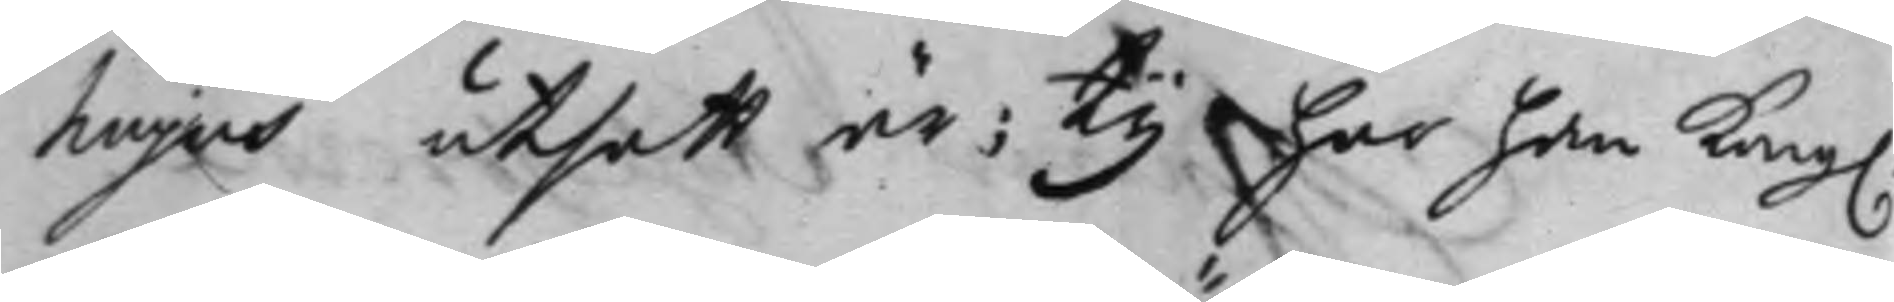hujus utsatt är; Ty har han Kong.
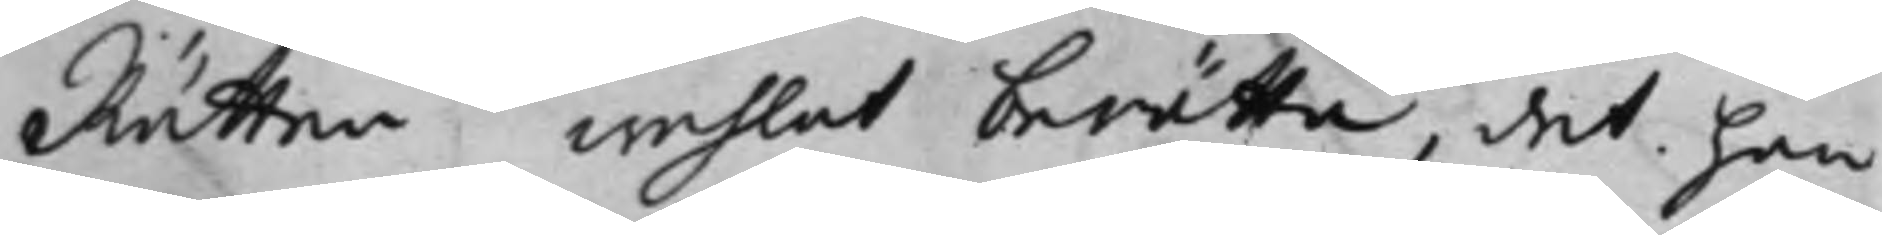Rätten wehlat berätta, det han
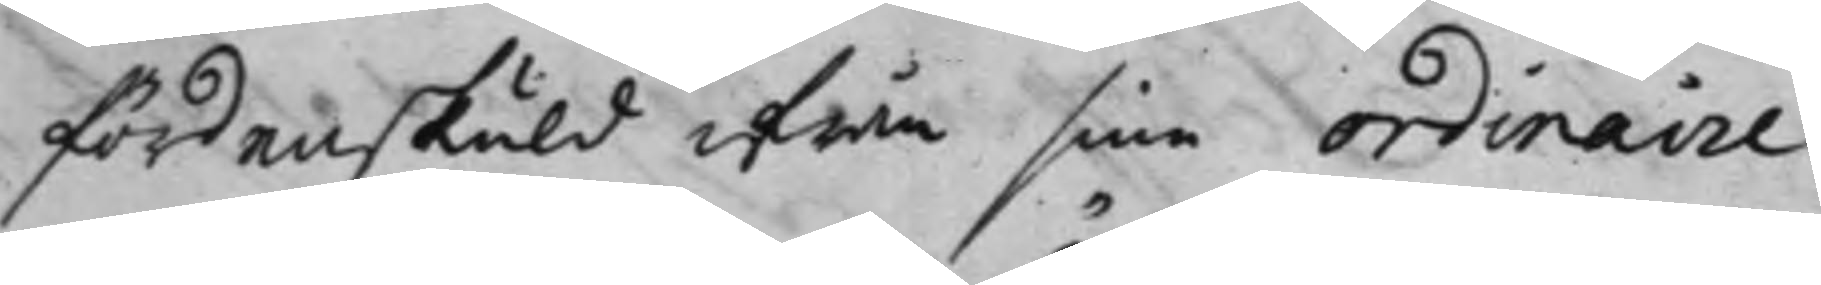fördenskuld ifrån sine Ordinaire
